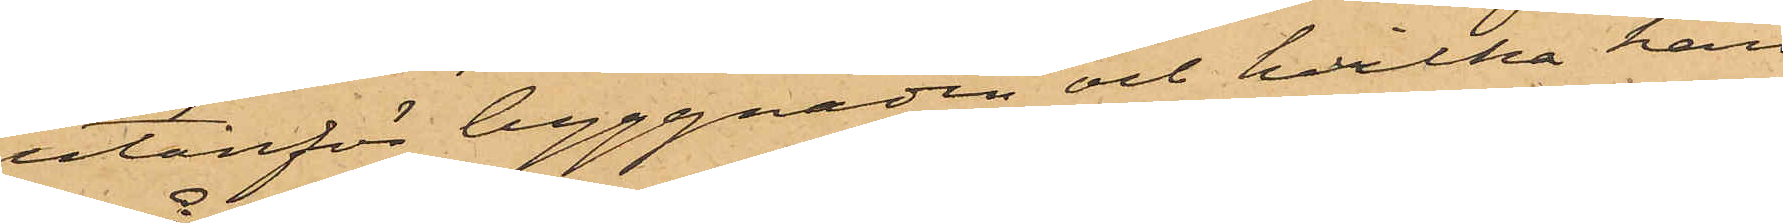utanför byggnaden och hvilka han
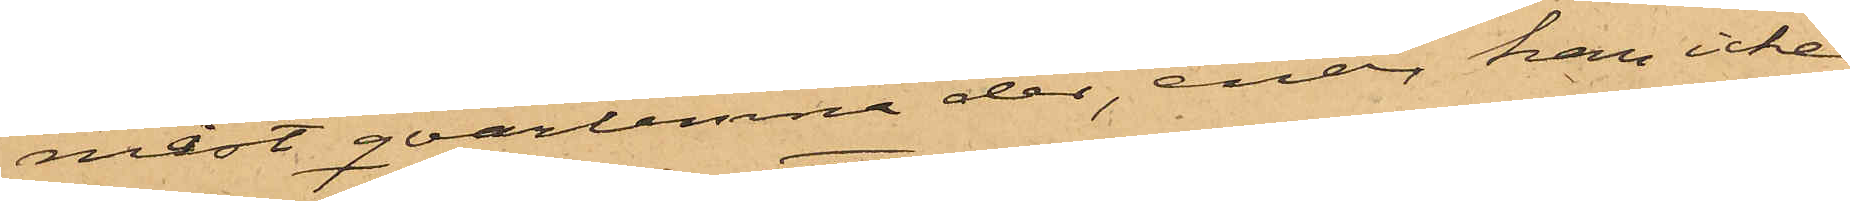måst qvarlemna der, enär han icke
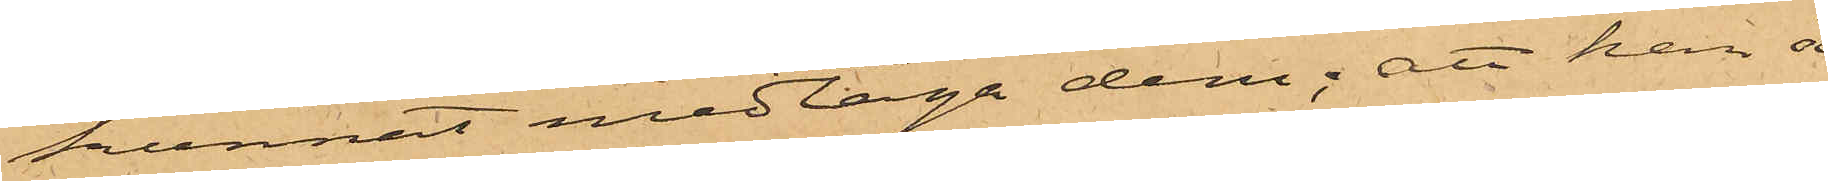kunnat medtaga dem; att han å
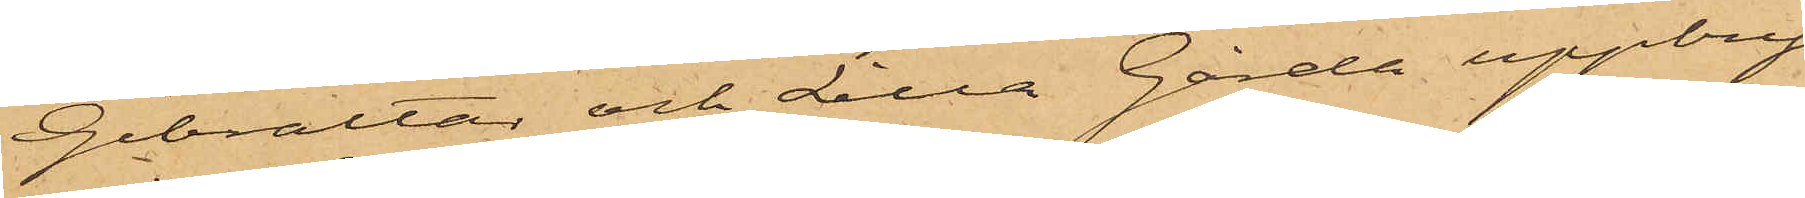Gibraltar och Lilla Gårda uppbry¬
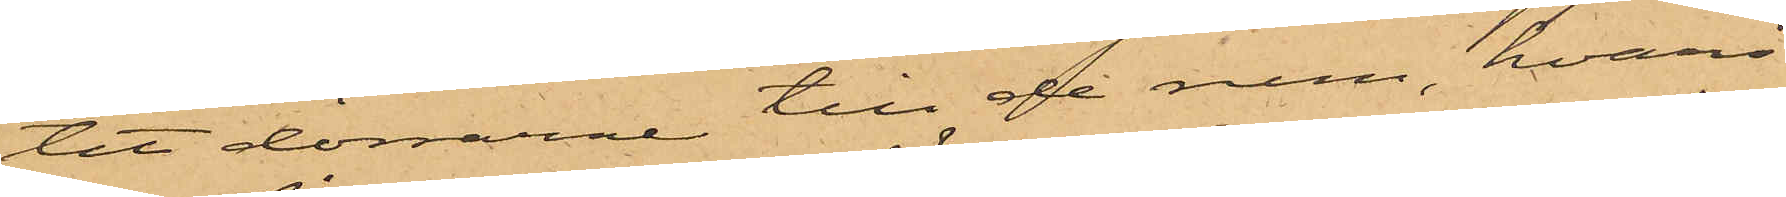tit dörrarne till de rum, hvari
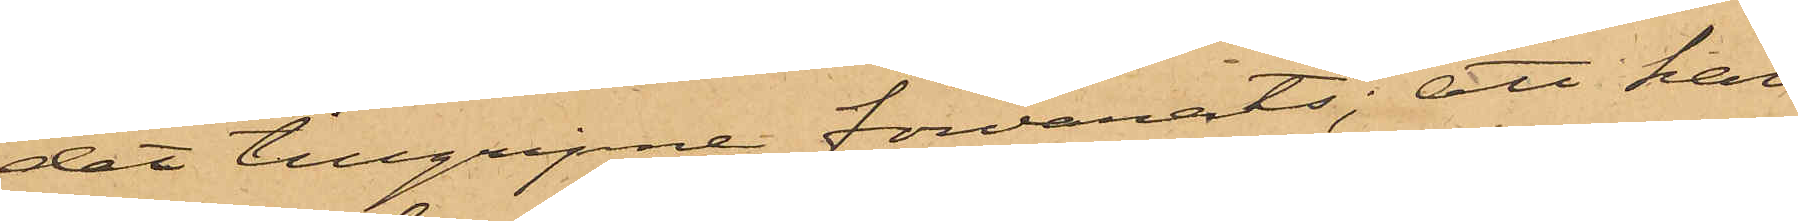det tillgripne förvarats; att han
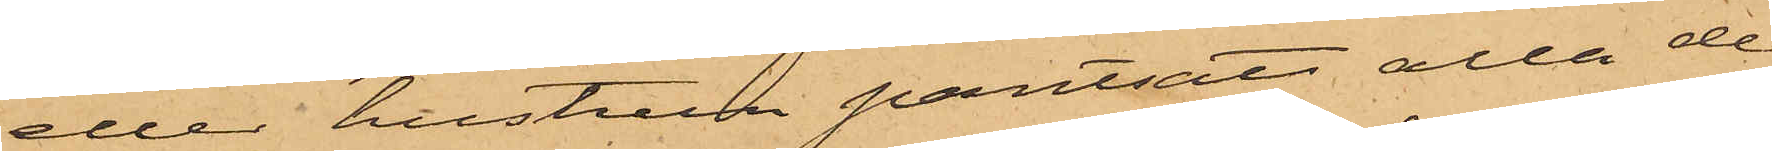eller hustrun pantsatt alla de
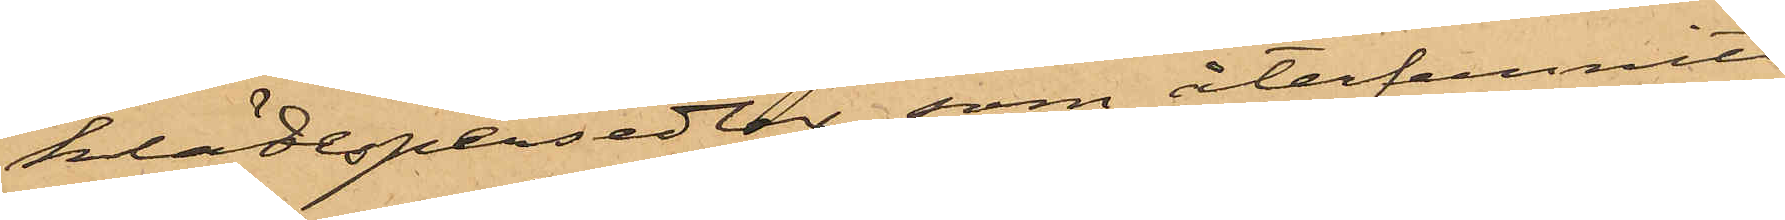klädespersedlar, som återfunnits
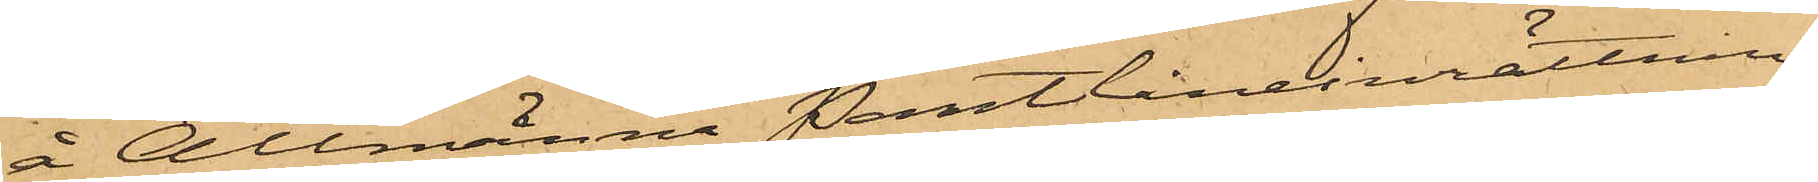å Allmänna Pantlåneinrättnin¬
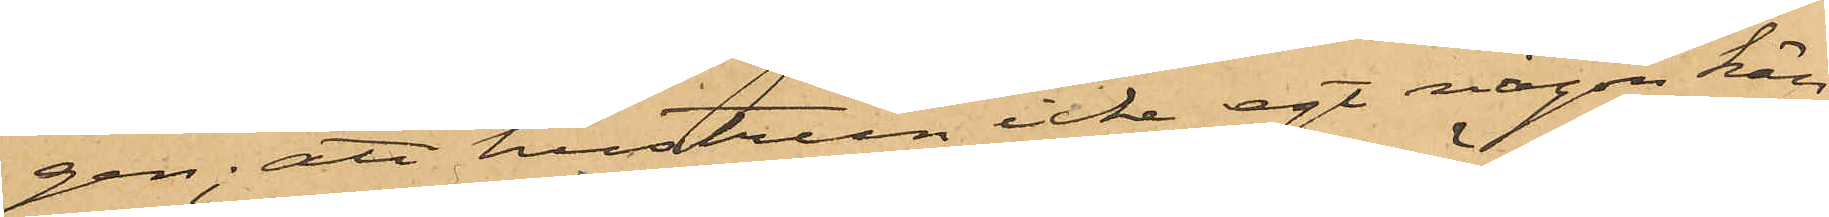gen; att hustrun icke egt någon kän¬
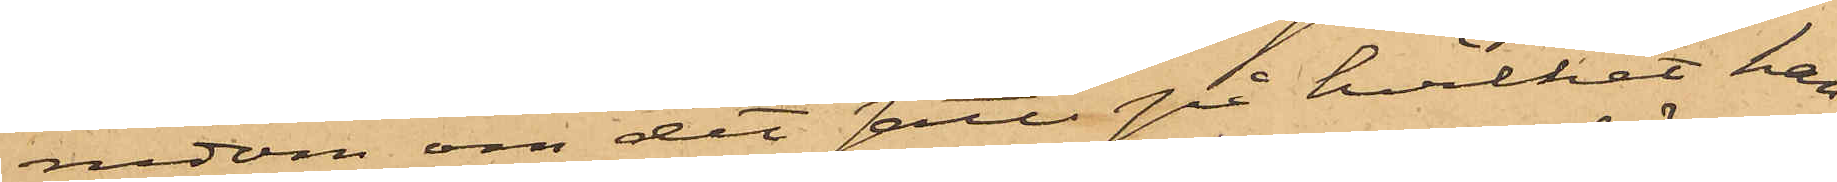nedom om det sätt på hvilket han
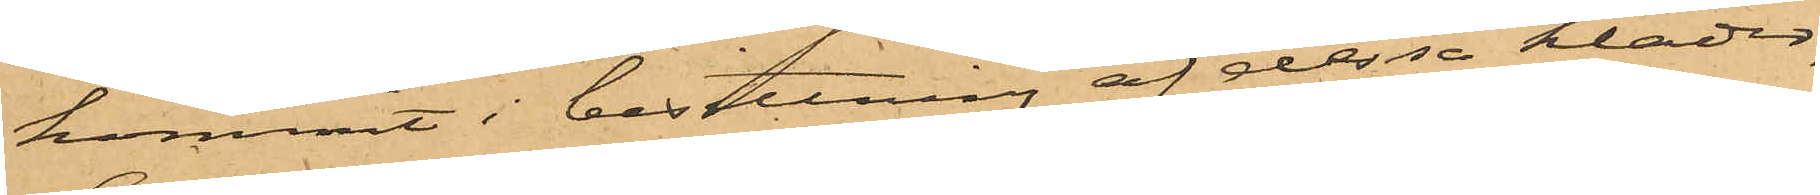kommit i besittning af dessa kläder,
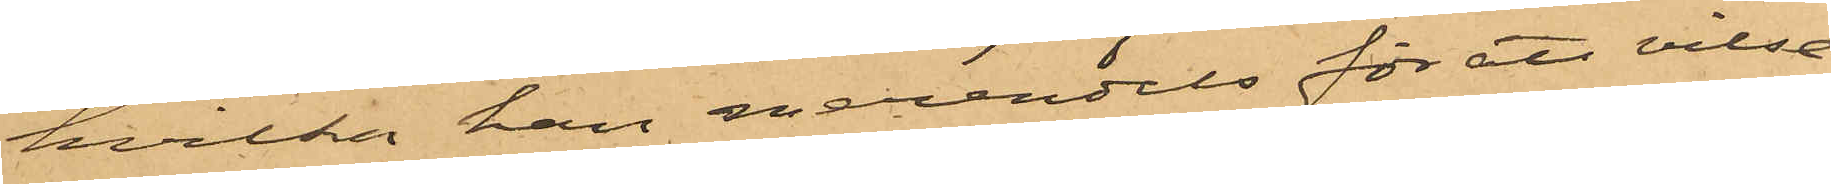hvilka han merendels för att vilse¬
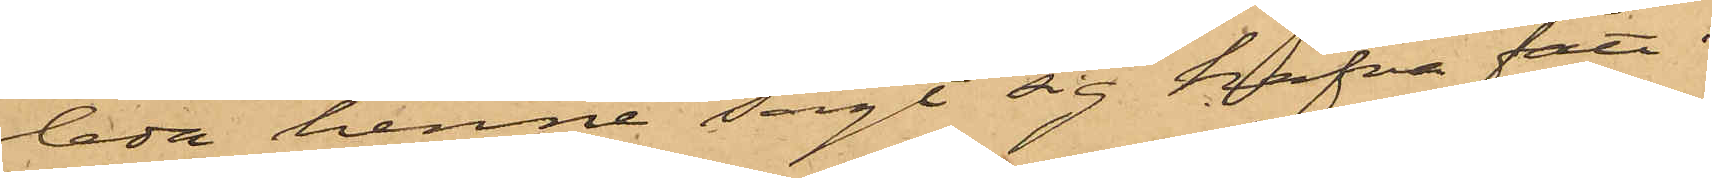leda henne sagt sig hafva fått i
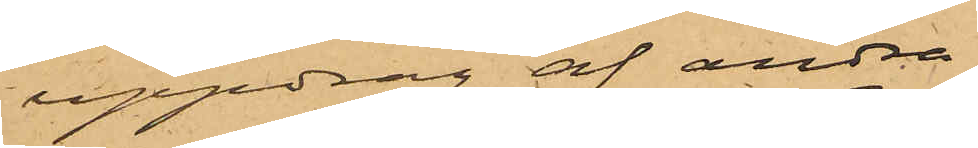uppdrag af andra
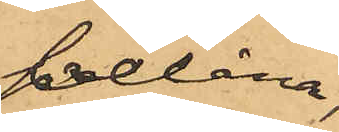belåna;
